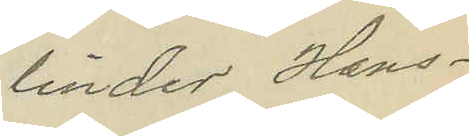linder Hans¬
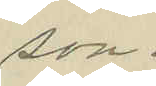son.
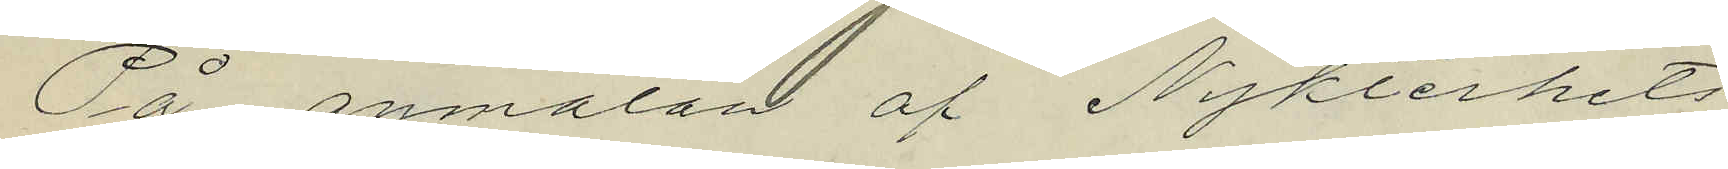På anmälan af Nykterhets¬
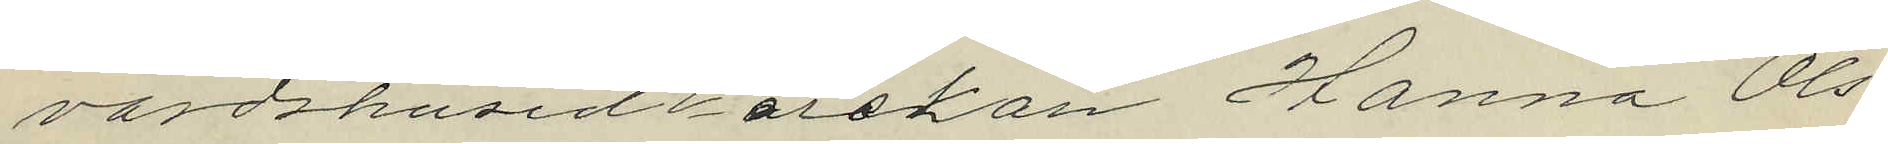värdshusidkerskan Hanna Ols¬
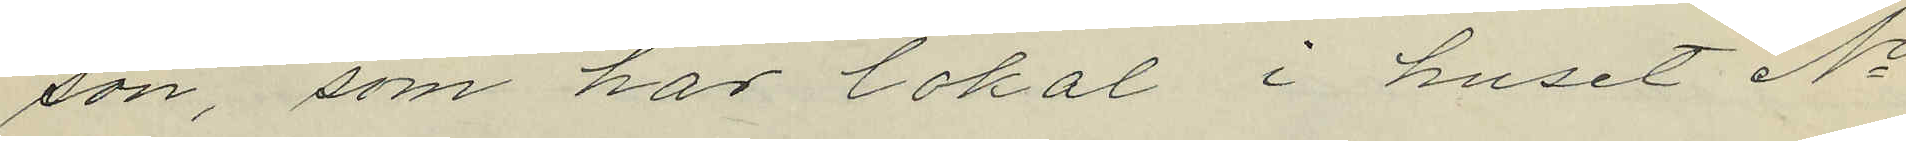son, som har lokal i huset No
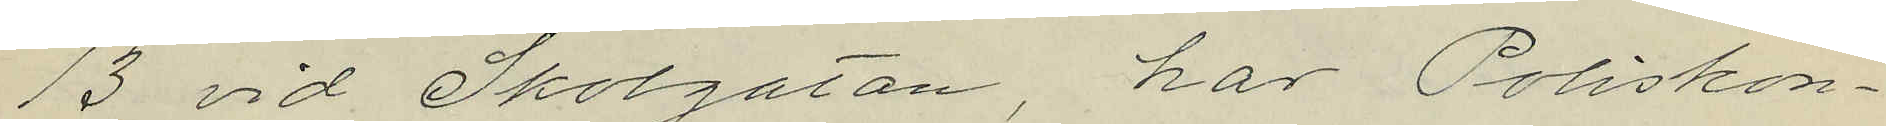13 vid Skolgatan, har Poliskon¬
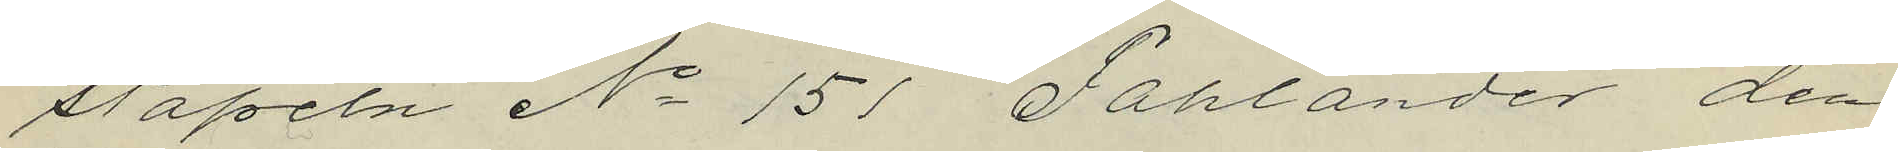stapeln No 151 Fahlander den
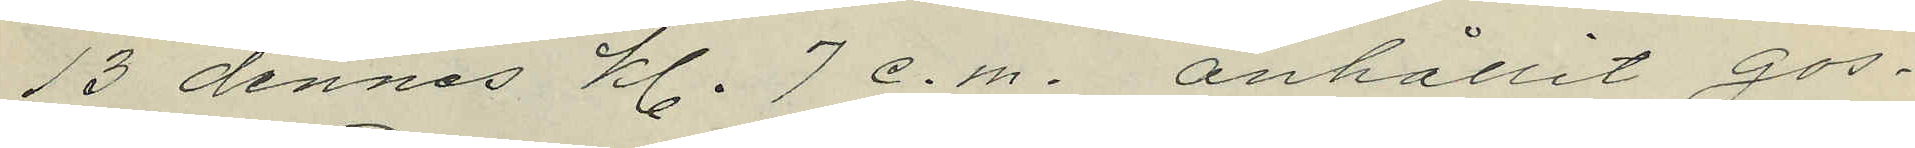13 dennes kl. 7 e.m. anhållit gos¬
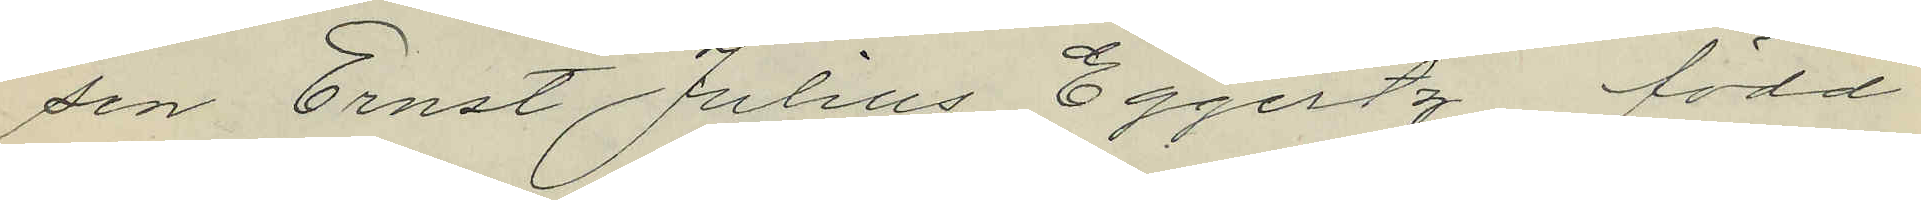sen Ernst Julius Eggertz, född
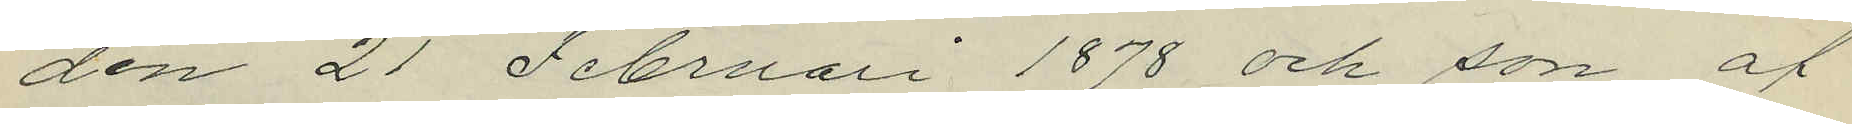den 21 Februari 1878 och son af
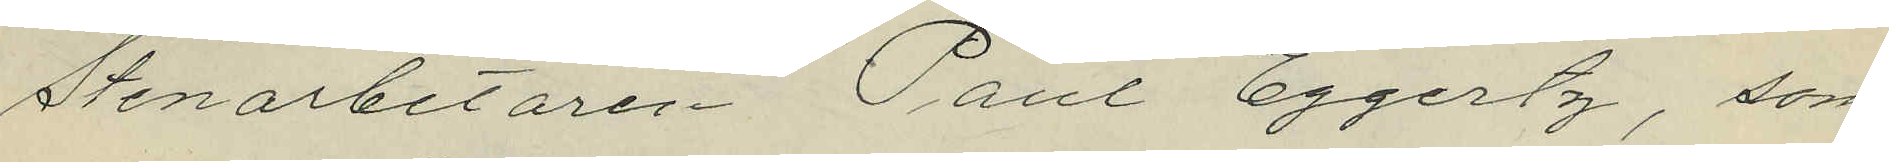Stenarbetaren Paul Eggertz, som
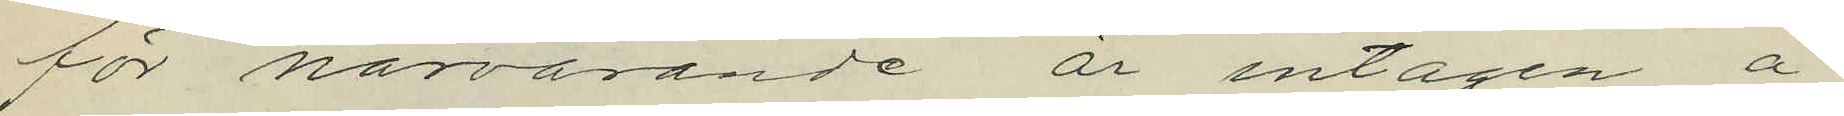för närvarande är intagen å
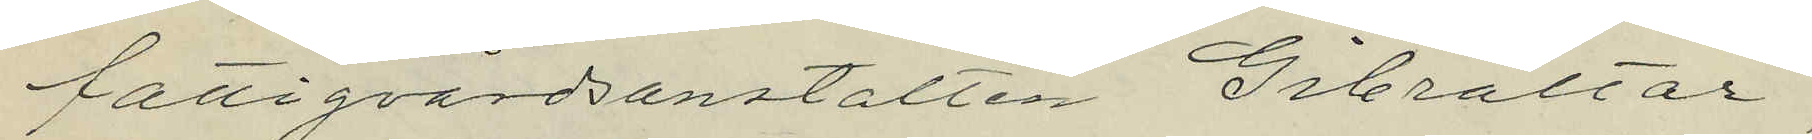fattigvårdsanstalten Gibraltar,
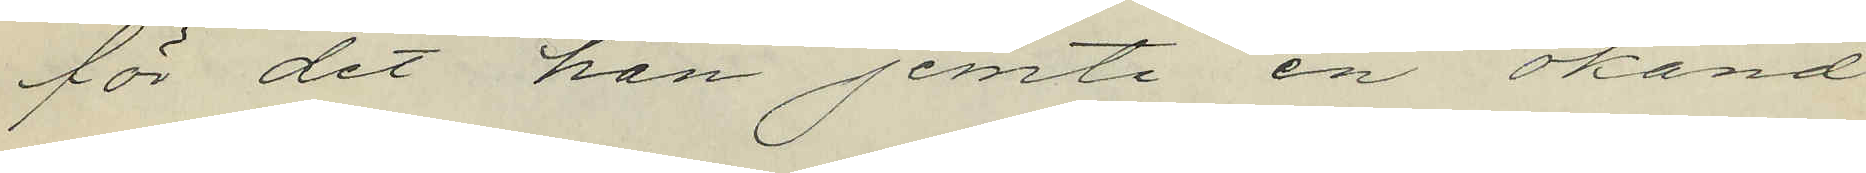för det han jemte en okänd
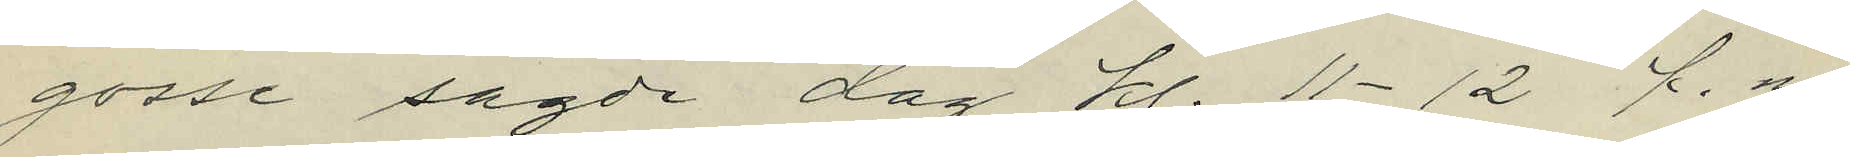gosse sagde dag kl. 11-12 f.m.
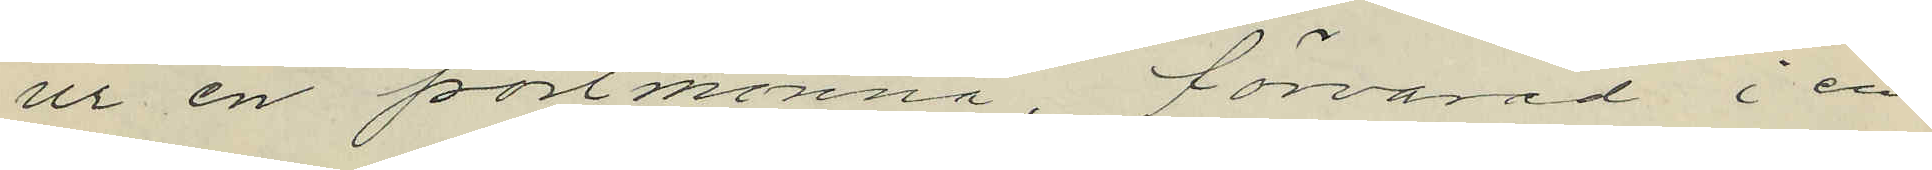ur en portmonnä, förvarad i en
